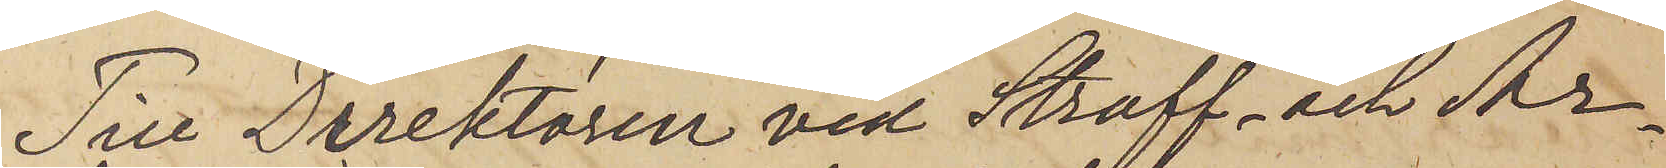Till Direktören vid Straff- och Ar¬
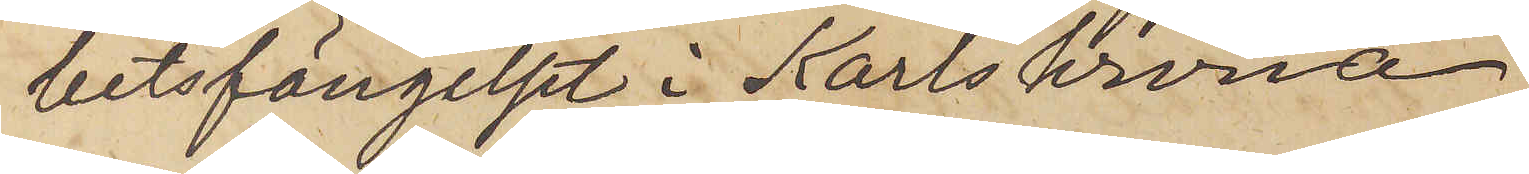betsfängelset i Karlskrona.
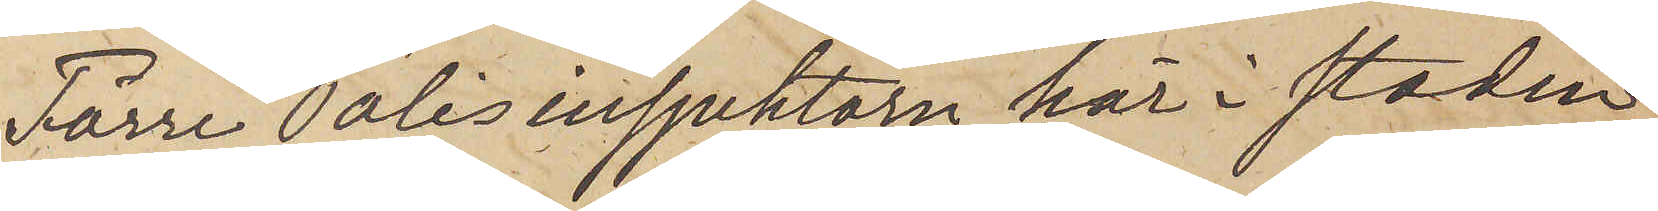Förre Polisinspektorn här i staden,
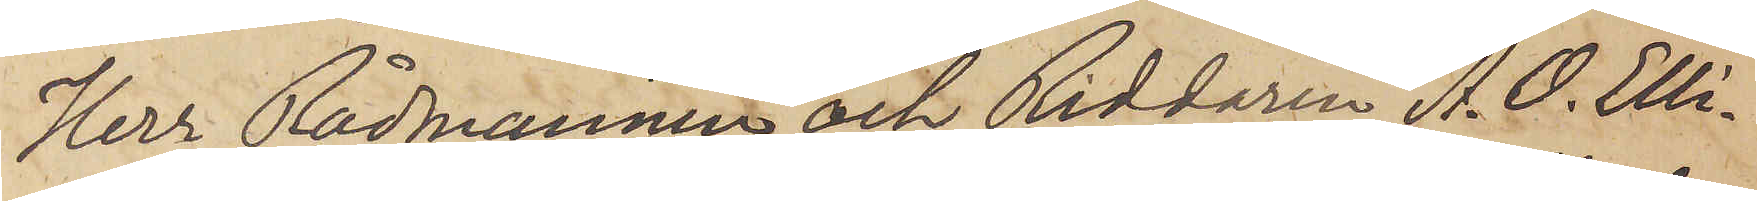Herr Rådmannen och Riddaren A. O. Elli¬
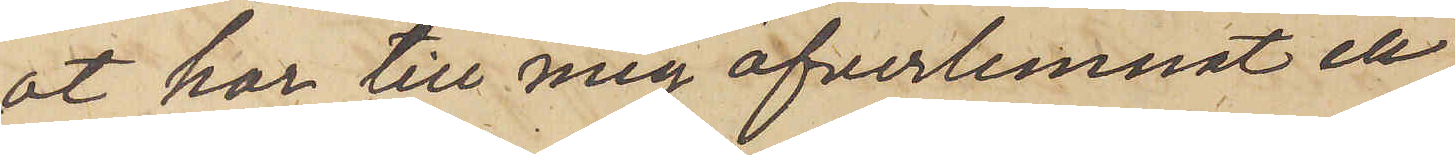ot har till mig öfverlemnat en
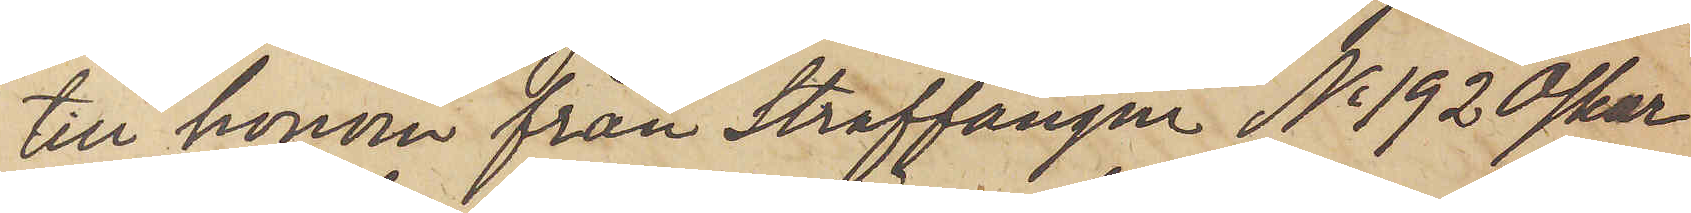till honom från Straffången No 192 Oskar
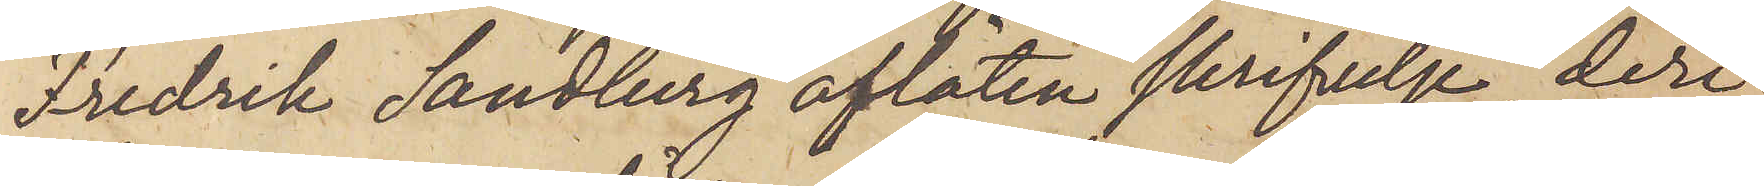Fredrik Sandberg aflåten skrifvelse, deri
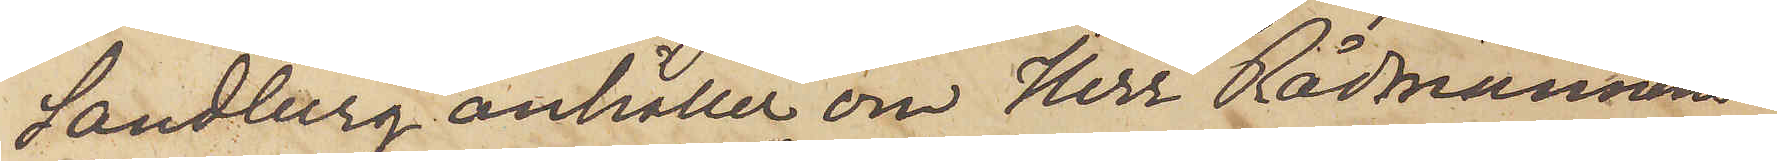Sandberg anhåller om Herr Rådmannens
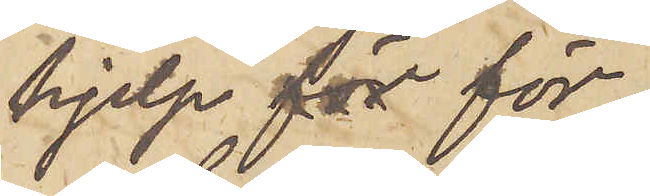hjelp för 
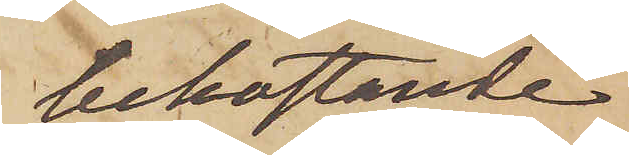bekostande
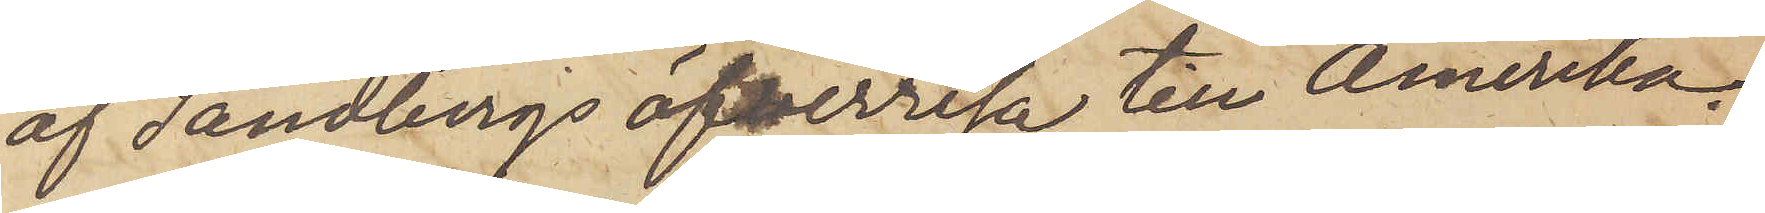af Sandbergs öfverresa till Amerika;
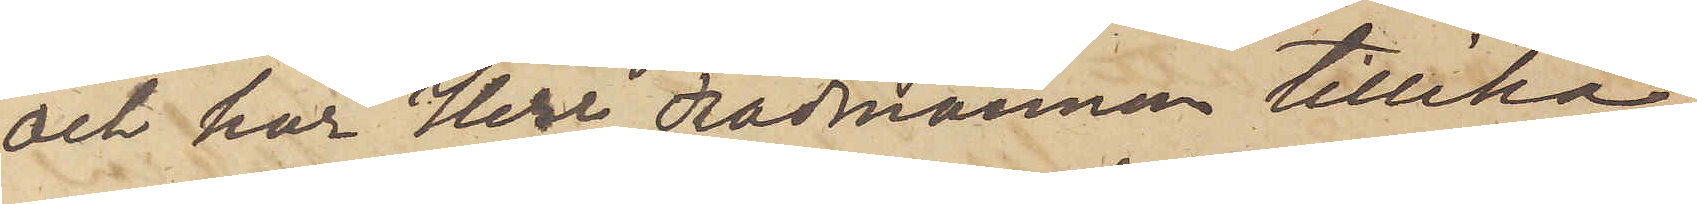och har Herr Rådmannen tillika
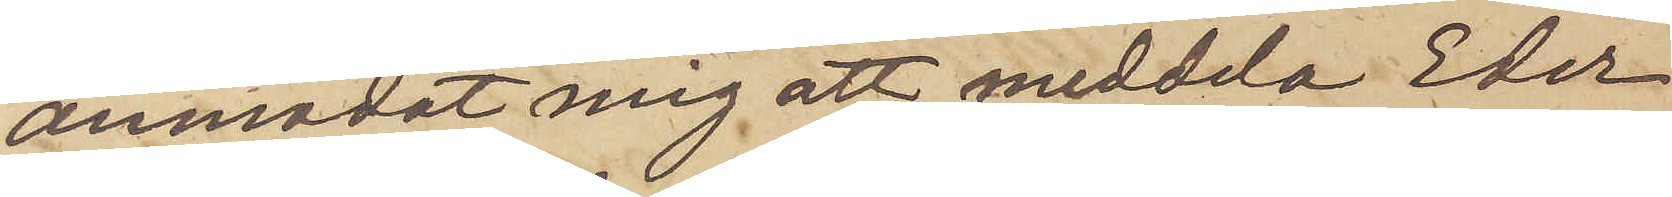anmodat mig att meddela Eder,
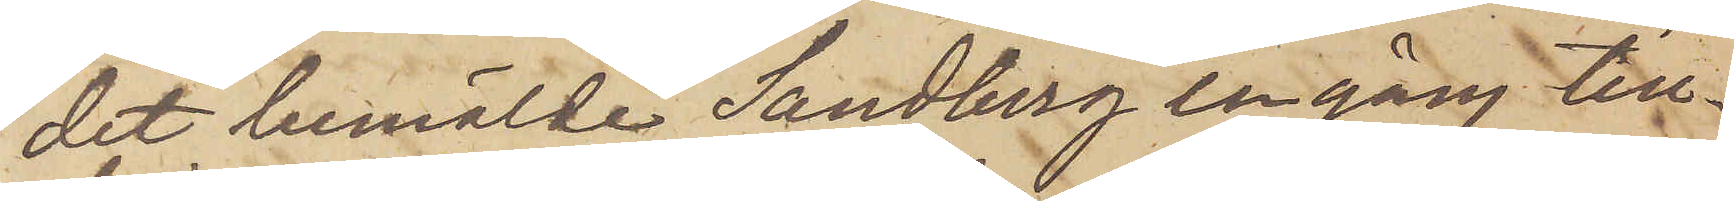det bemälde Sandberg en gång till¬
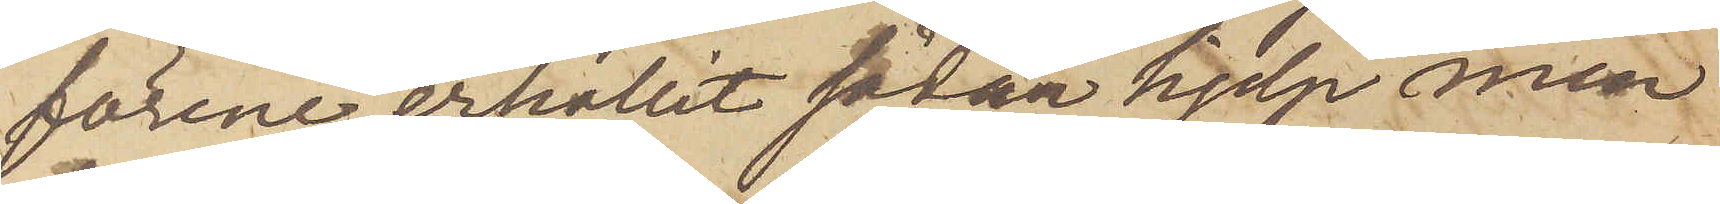förene erhållit sådan hjep men
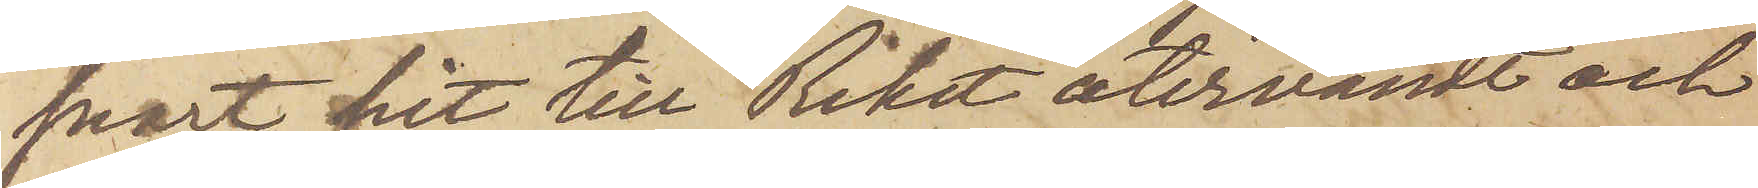snart hit till Riket återvändt och
